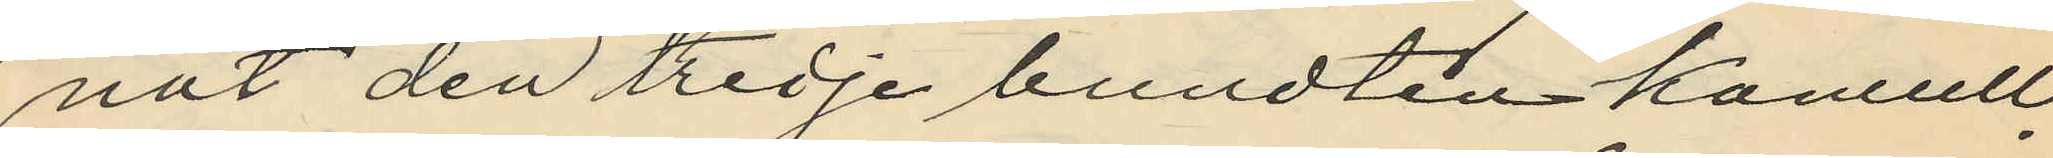nat den tredje bundten kamull,
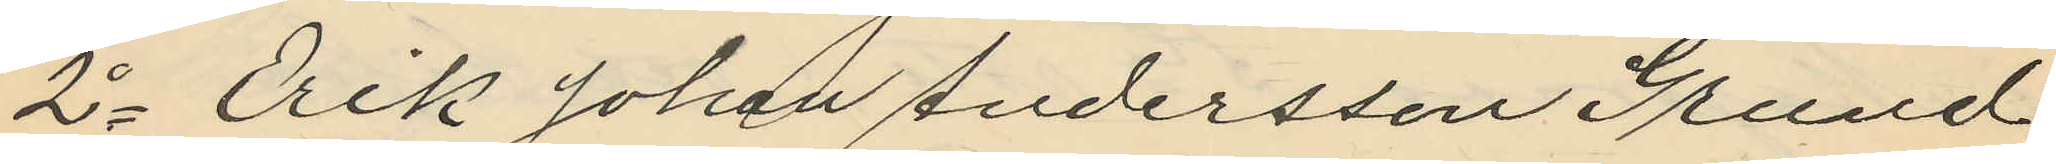2o Erik Johan Andersson Grund
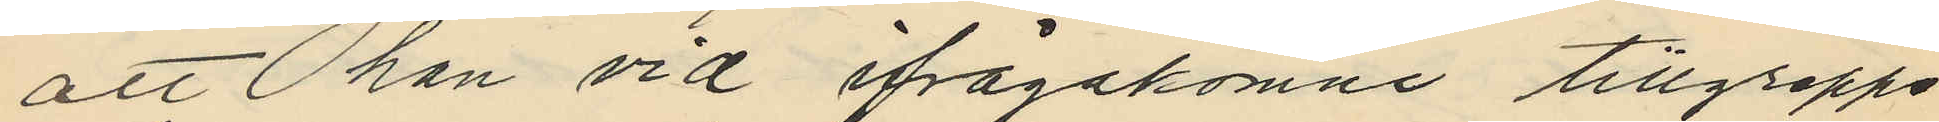att han vid ifrågakomne tillgrepps
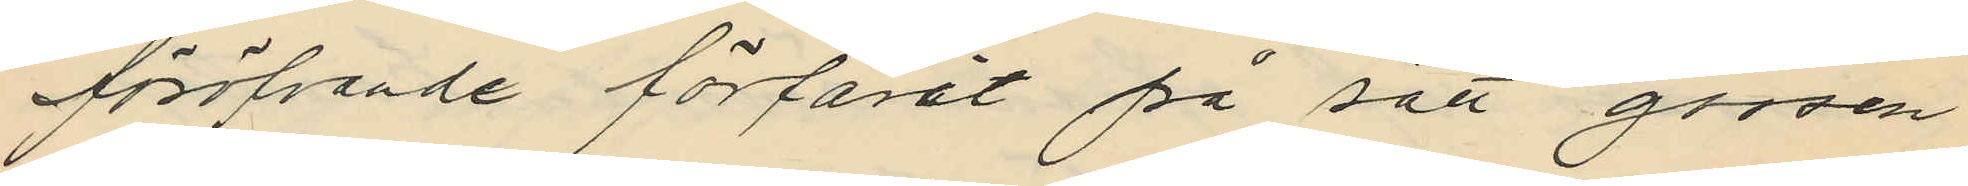föröfvande förfarit på sätt gossen
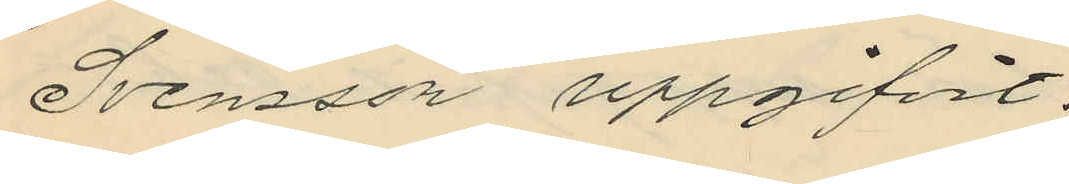Svensson uppgifvit.
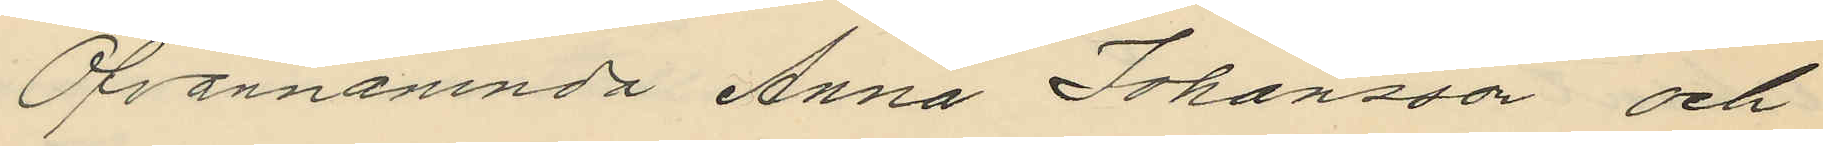Ofvannämnda Anna Johansson och
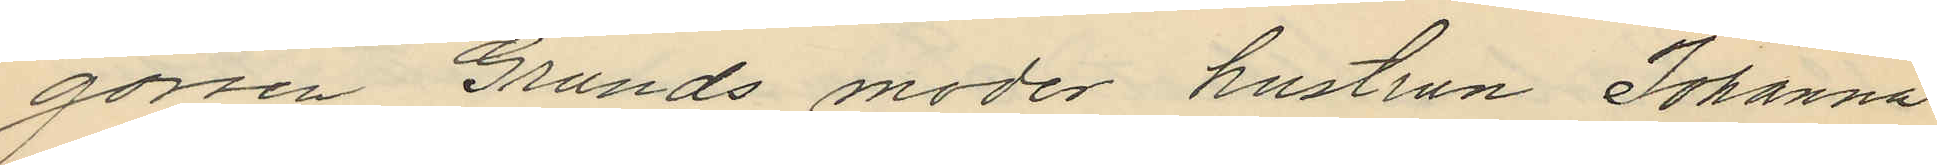gossen Grunds moder hustrun Johanna
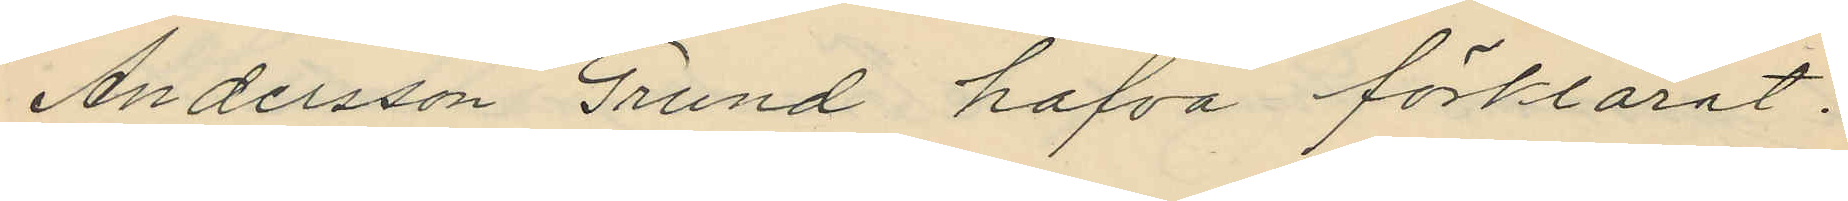Andersson Grund hafva förklarat:
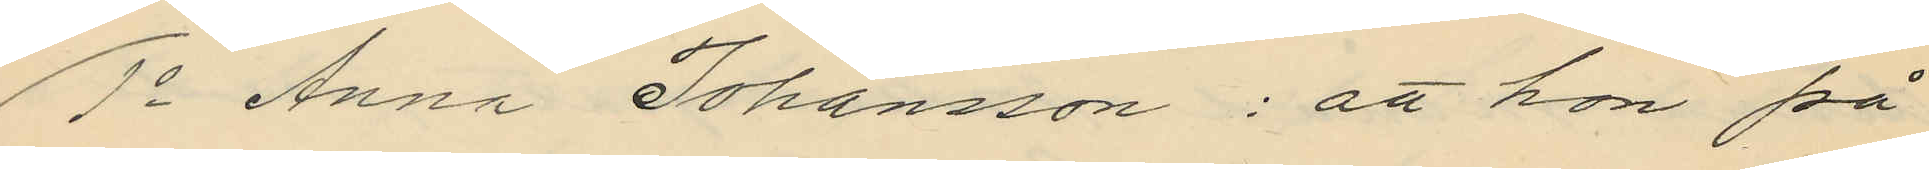1o Anna Johansson: att hon på
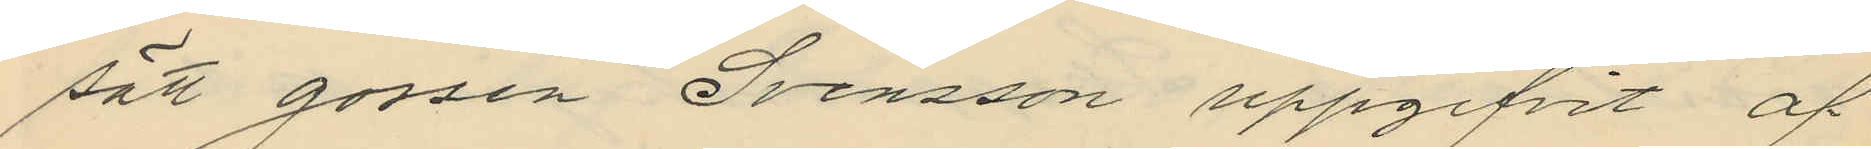sätt gossen Svensson uppgifvit af
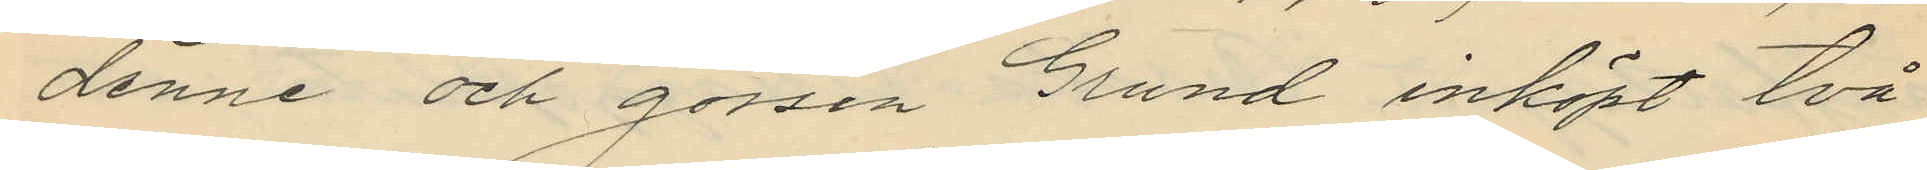denne och gossen Grund inköpt två
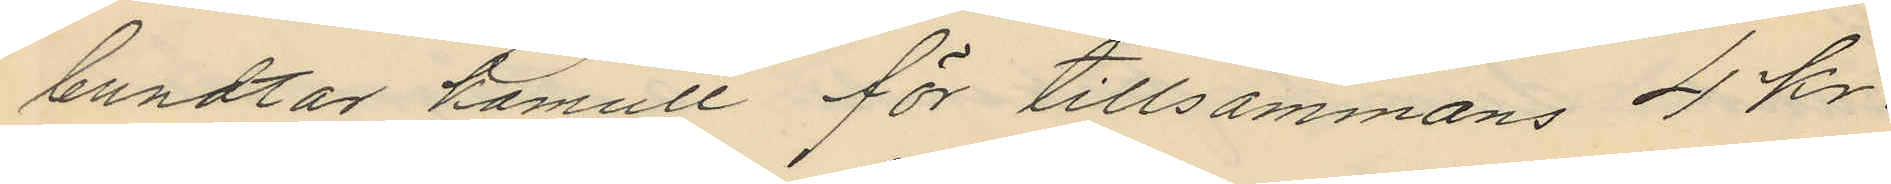bundtar kamull för tillsammans 4 kr.
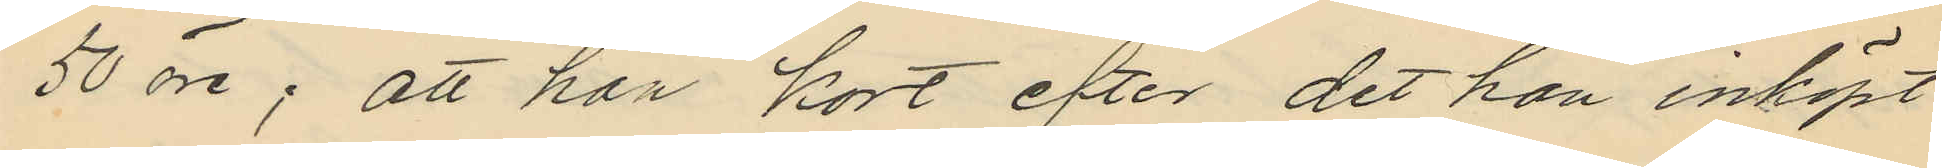50 öre; att hon kort efter det hon inköpt
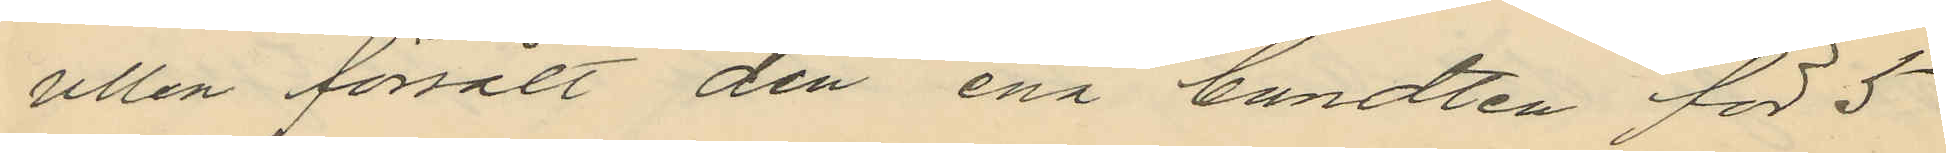ullen försålt den ena bundten för 5
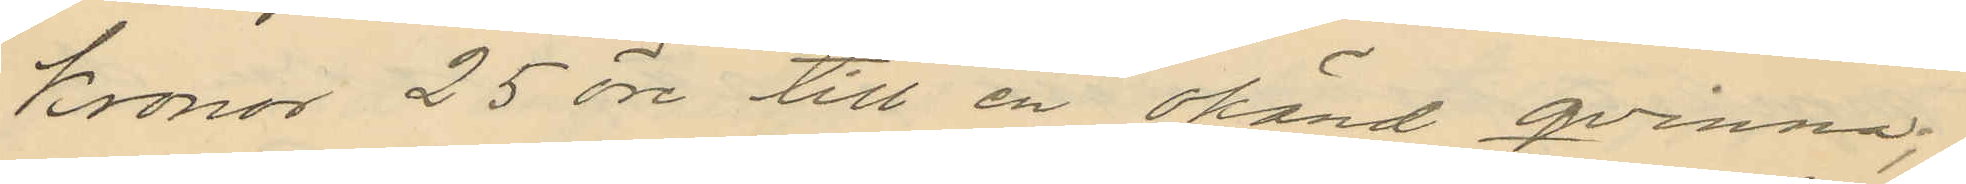kronor 25 öre till en okänd qvinna;
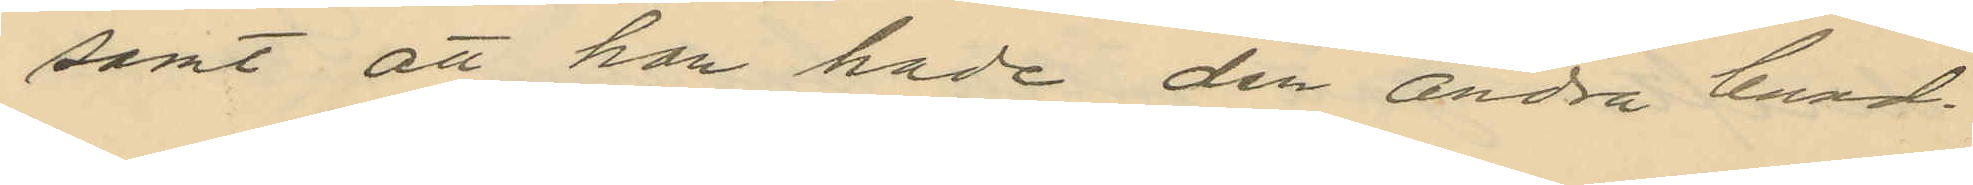samt att hon hade den andra bund¬
